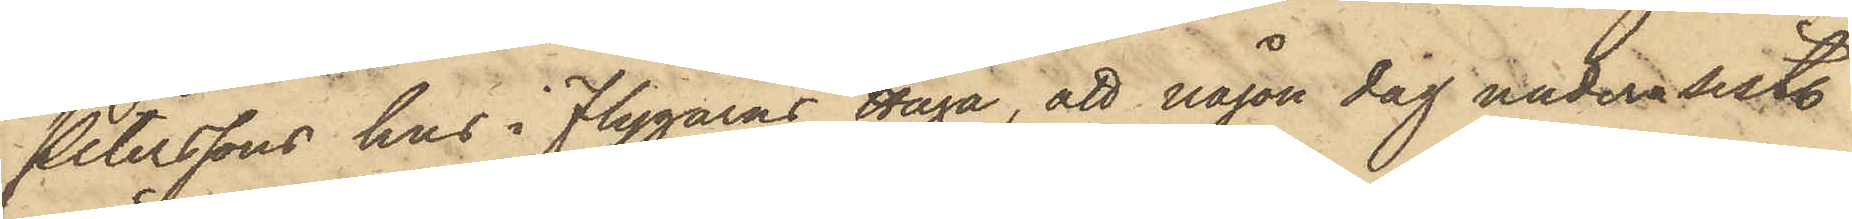Peterssons hus i Flygarns Haga, att någon dag under sistl.
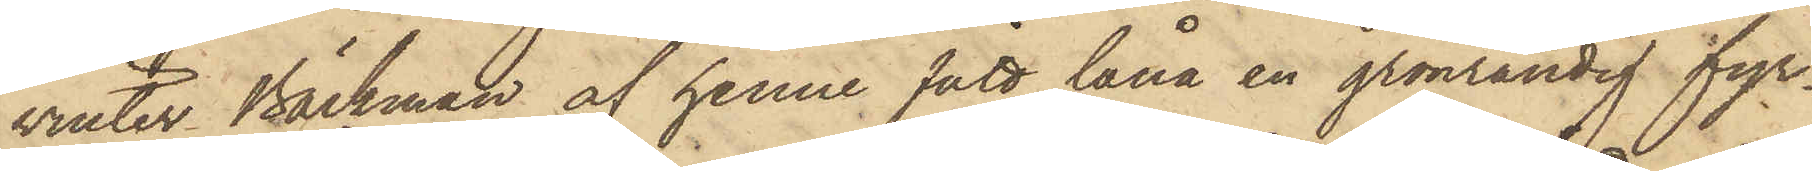vinter Bäckman af henne sätt låna en grönrandig fyr¬
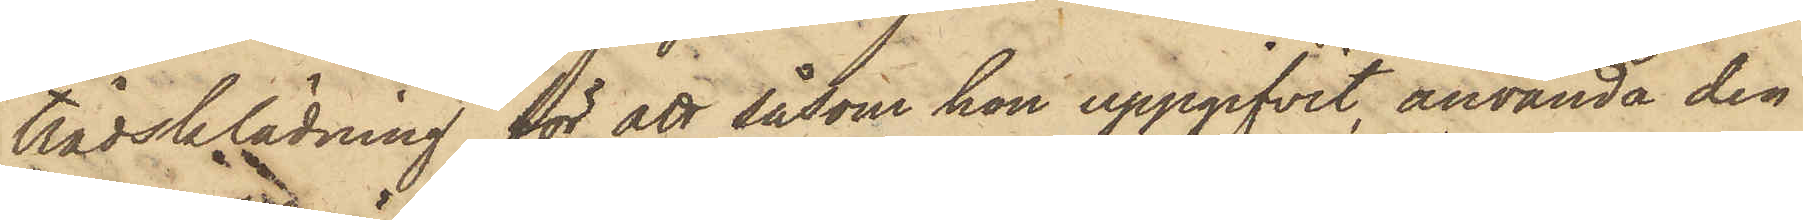trådsklädning för att såsom hon uppgifvit, använda den
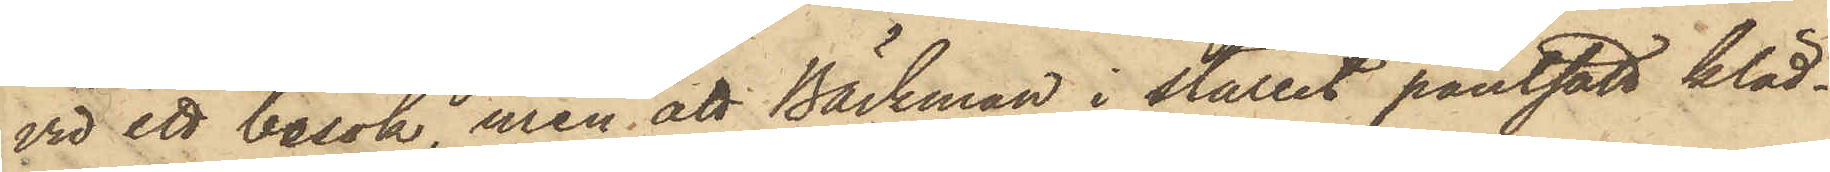vid ett besök, men att Bäckman i stället pantsatt kläd¬
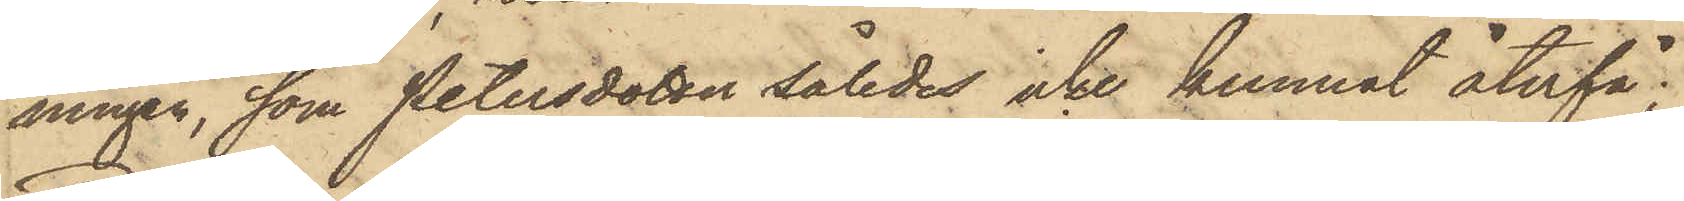ningen, som Petersdotter således icke kunnat återfå;
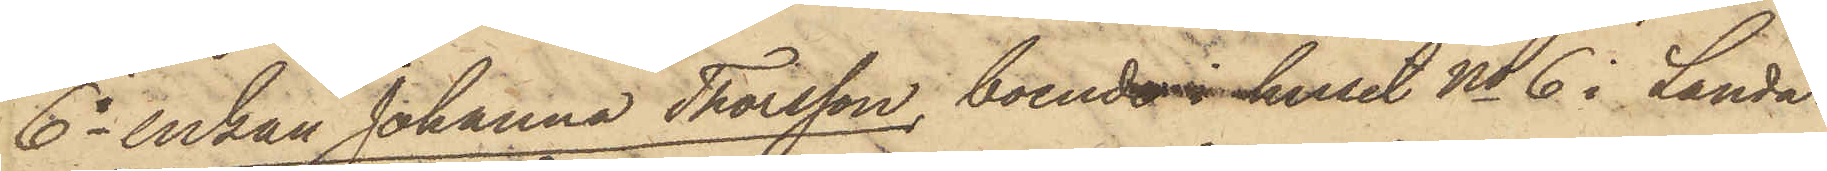6o Enkan Johanna Thorsson, boende i huset No 6 i Landa¬
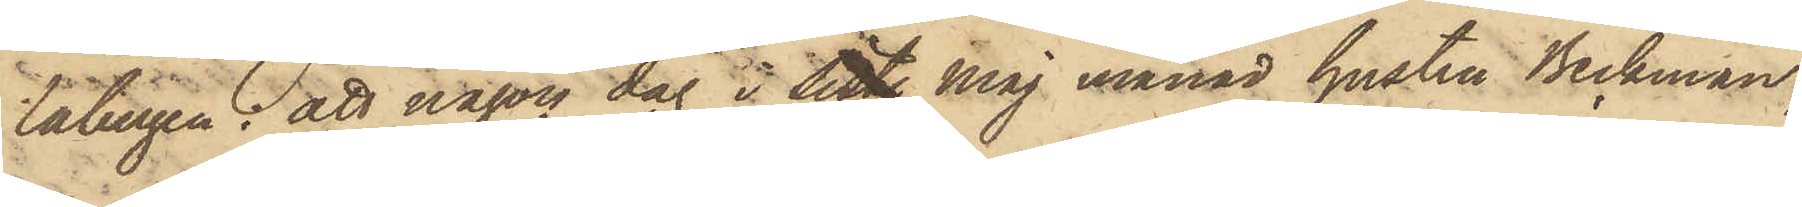labergen: att någon dag i sist. Maj månad hustru Beckman,
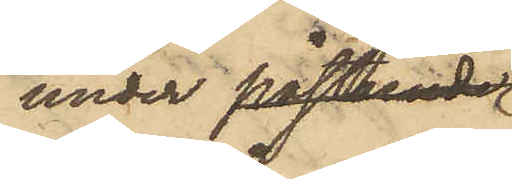under påstående
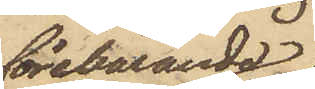förebärande
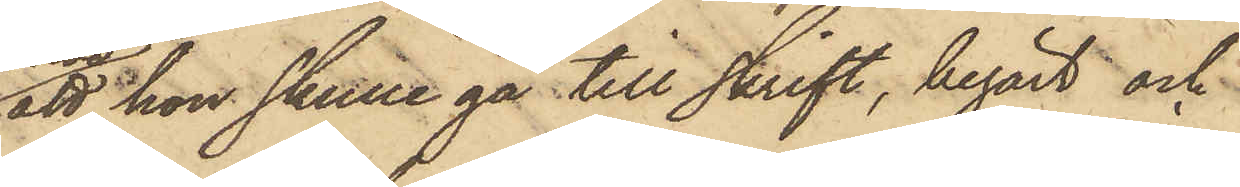att hon skulle gå till skrift, begärt och
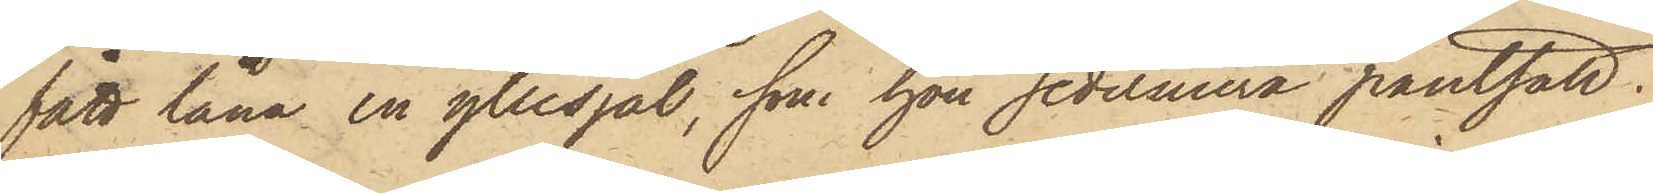fått låna en yllesjal, som hon sedermera pantsatt;
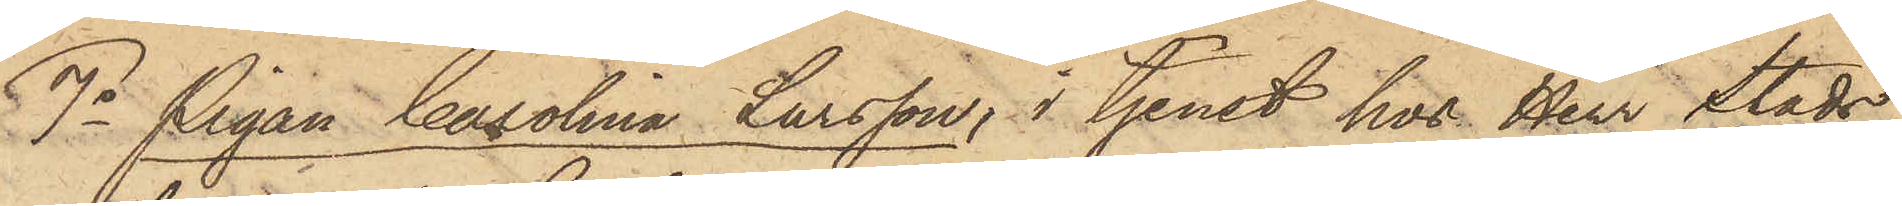7o Pigan Carolina Larsson, i tjenst hos Herr Stads¬
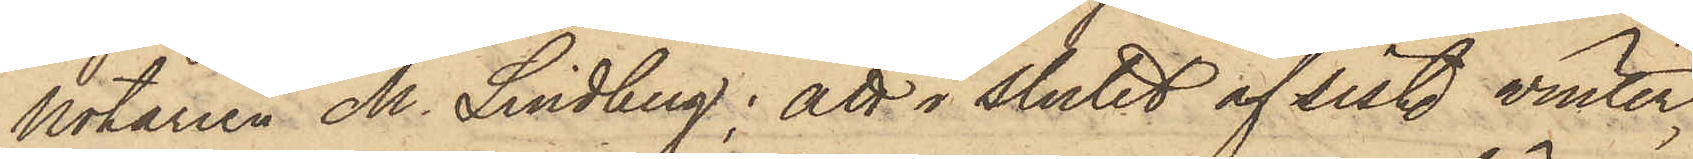Notarien M. Lindberg; att i slutet af sist. vinter
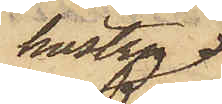hustru
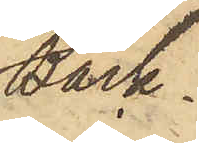Bäck¬
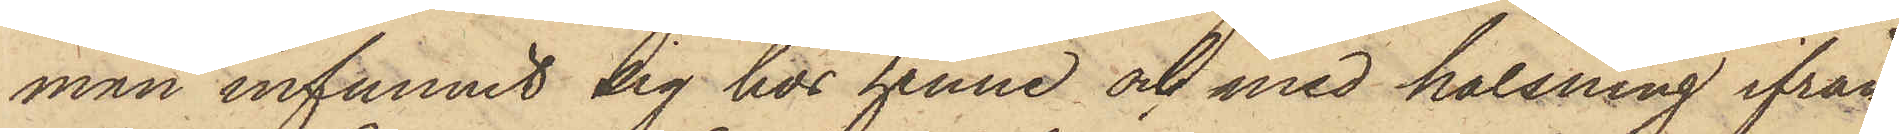man infunnit sig hos henne och med hälsning ifrån
